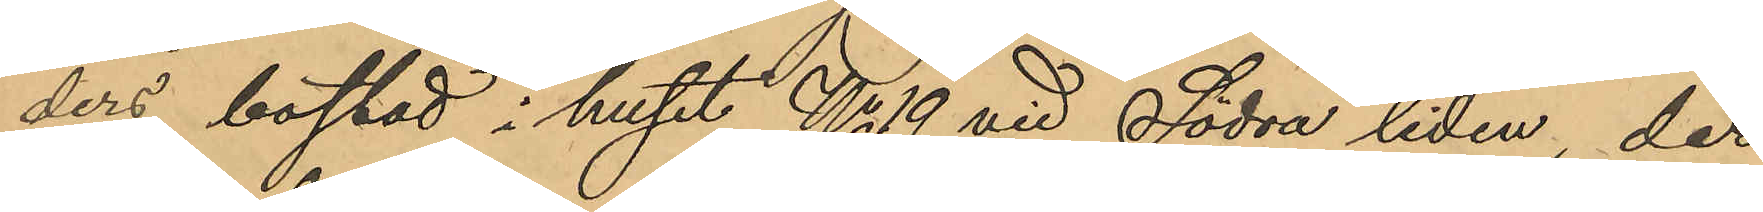ders bostad i huset No 19 vid Södra liden, der
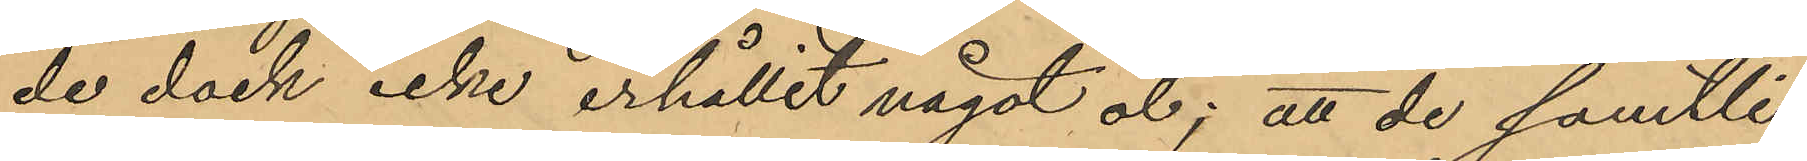de dock icke erhållit något öl; att de samtli¬
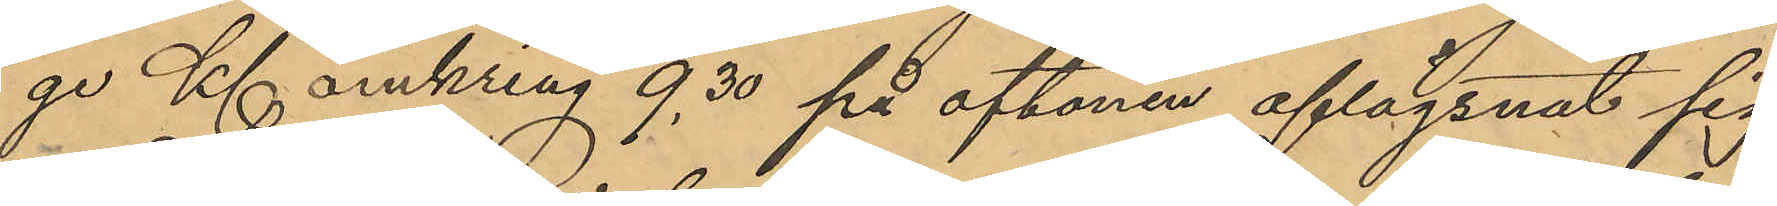ge Kl. omkring 9,30 på aftonen aflägsnat sig
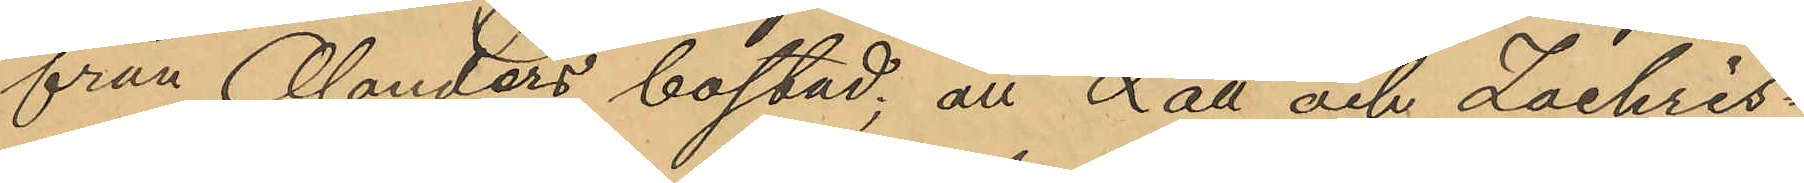från Olanders bostad; att Lätt och Zachris¬
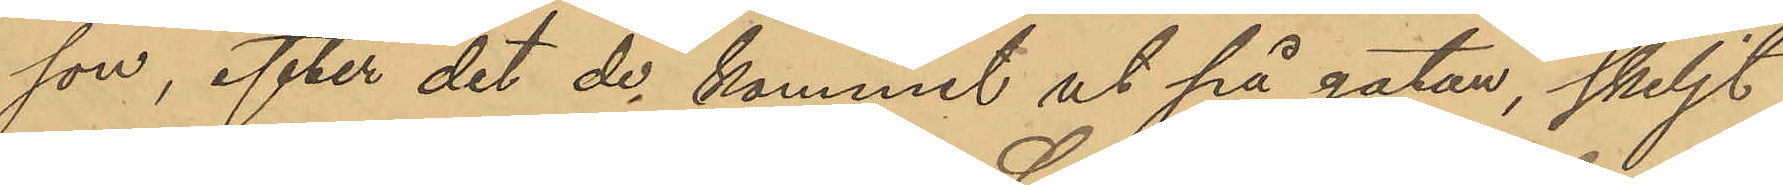son, efter det de kommit ut på gatan, skiljt
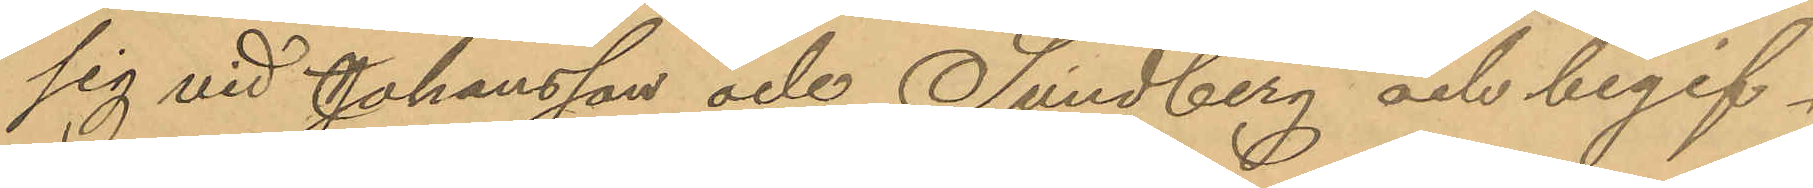sig vid Johansson och Sundberg och begif¬
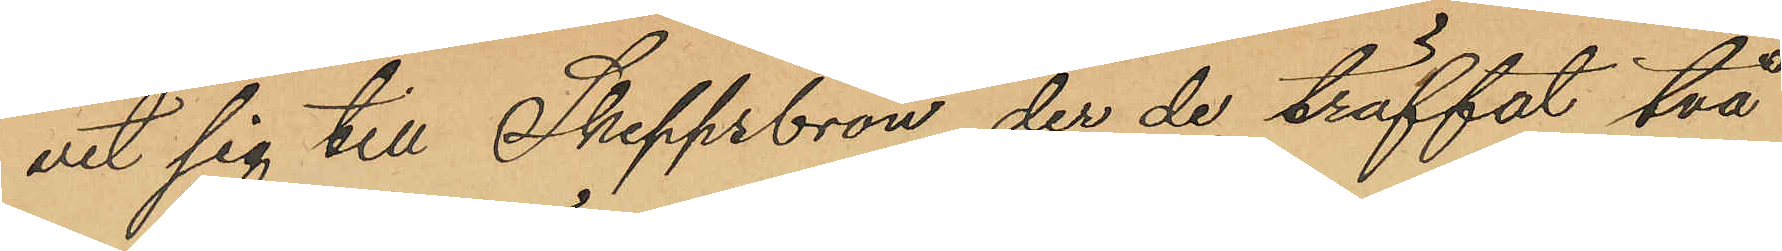vit sig till Skeppsbron, der de träffat två
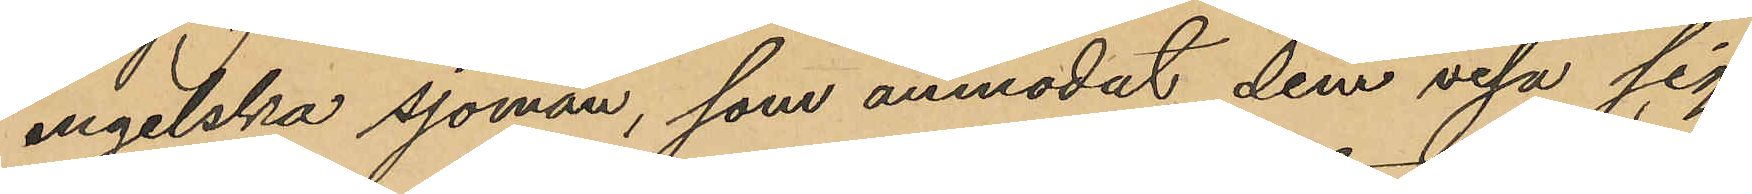engelska sjömän, som anmodat dem visa sig
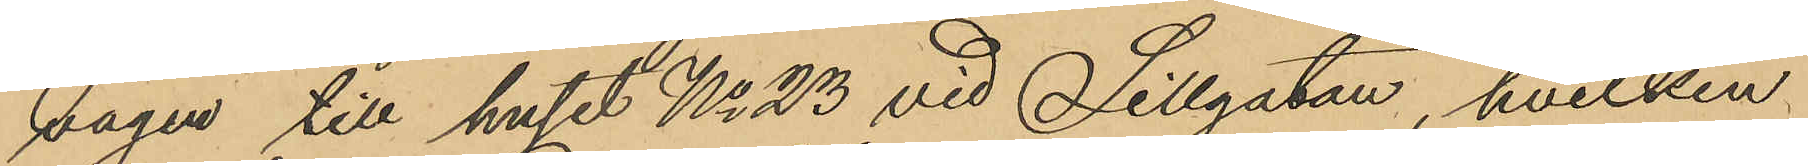vägen till huset No 23 vid Sillgatan, hvilken
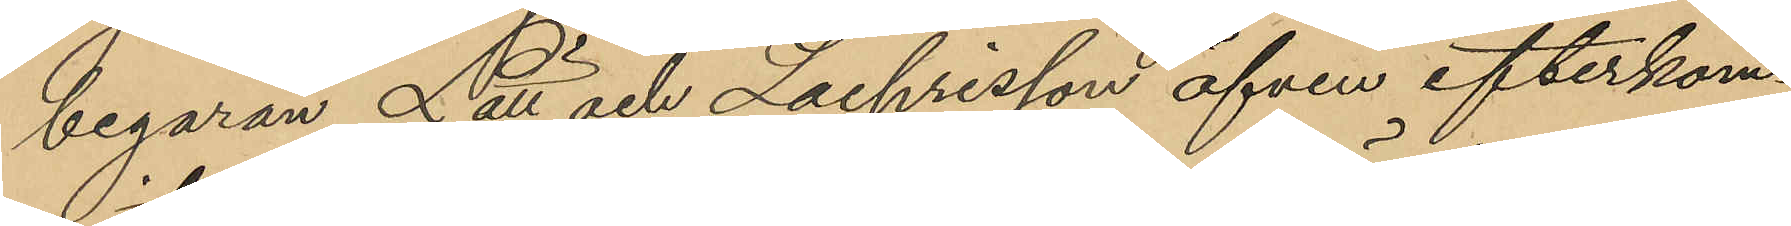begäran Lätt och Zachrisson äfven efterkom¬
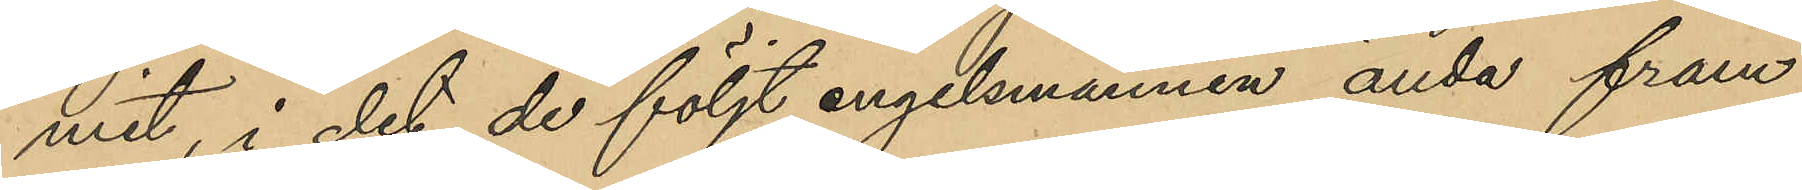mit, i det de följt engelsmännen ända fram
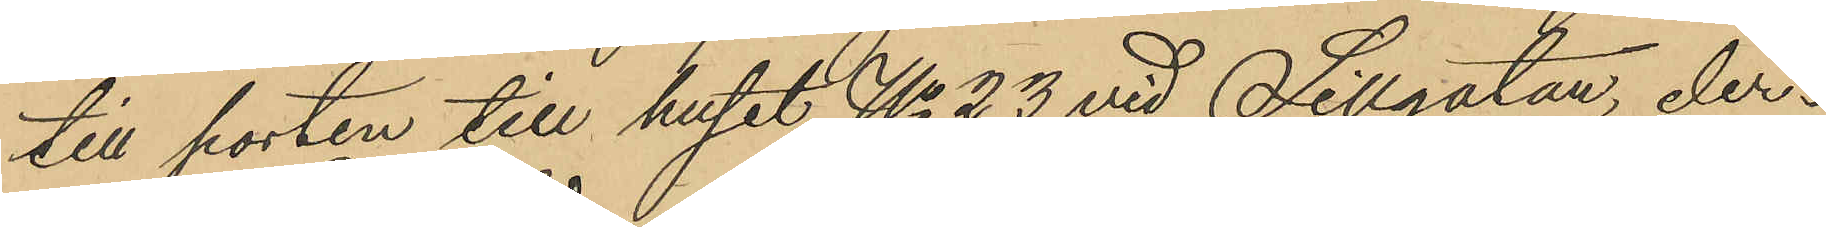till porten till huset No 23 vid Sillgatan, der¬
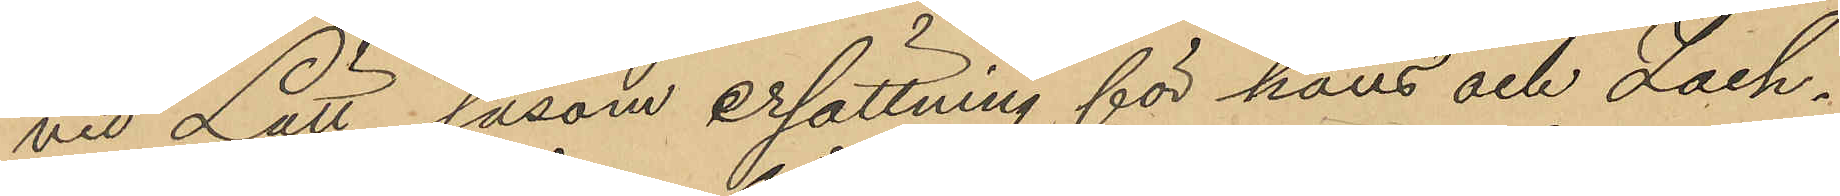vid Lätt, såsom ersättning för hans och Zach¬
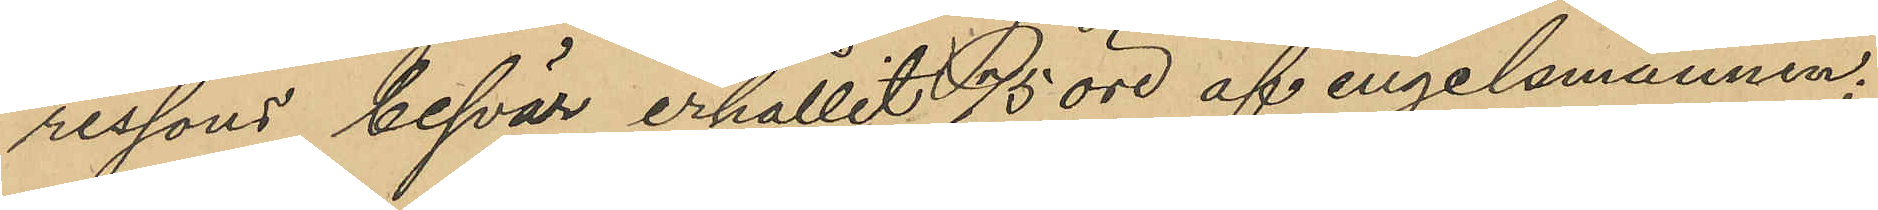ressons besvär erhållit 75 öre af engelsmännen.
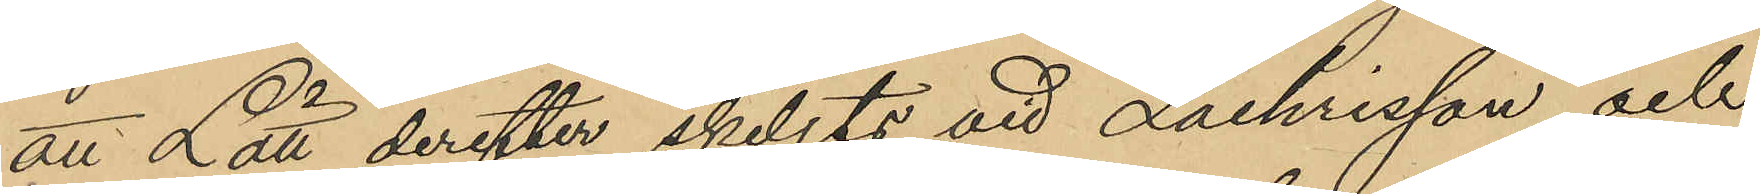att Lätt derefter skiljts vid Zachrisson och
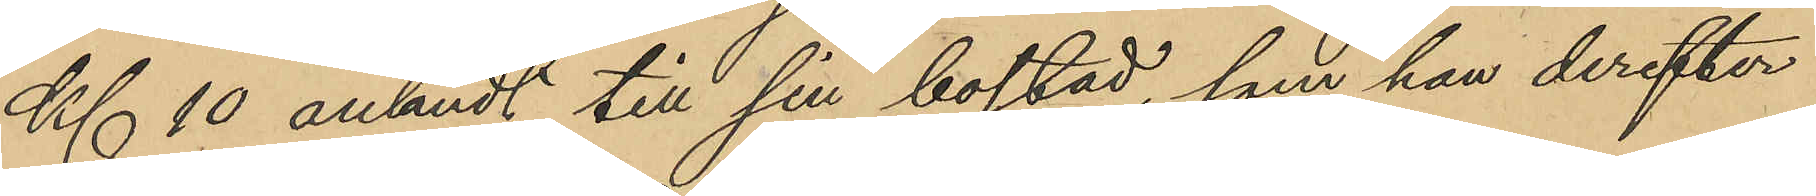Kl. 10 anländt till sin bostad, som han derefter
